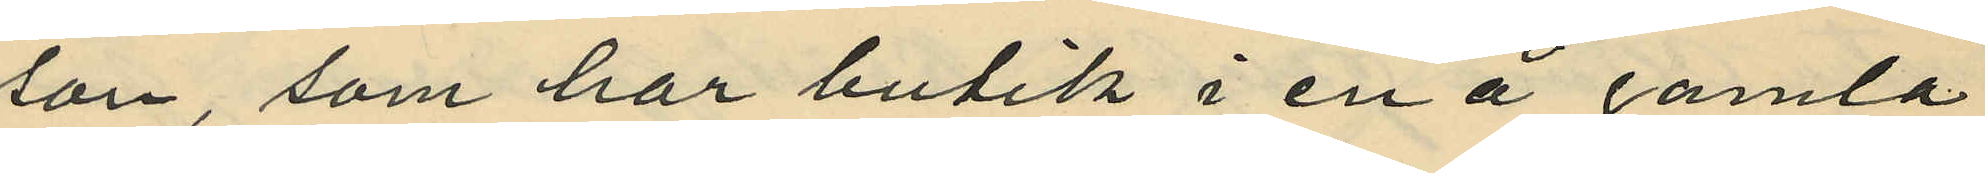son, som har butik i en å gamla
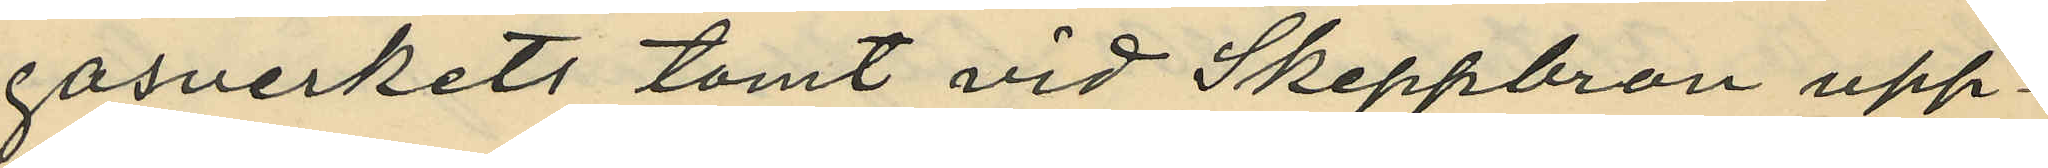gasverkets tomt vid Skeppbron upp¬
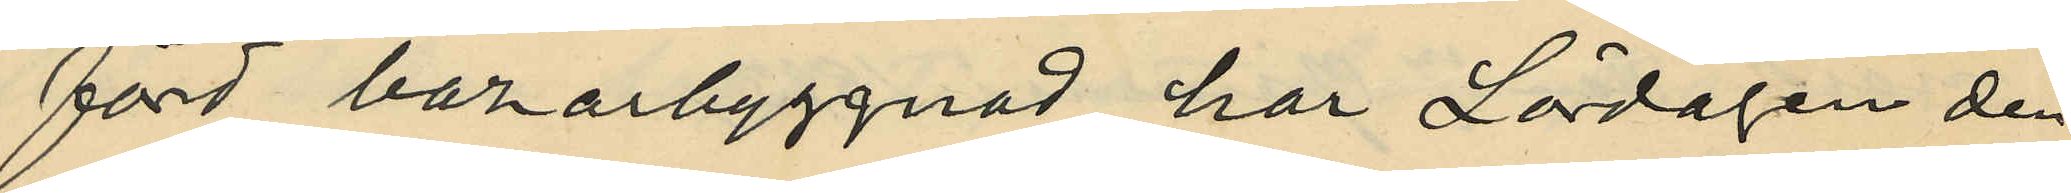förd bazarbyggnad, har Lördagen den
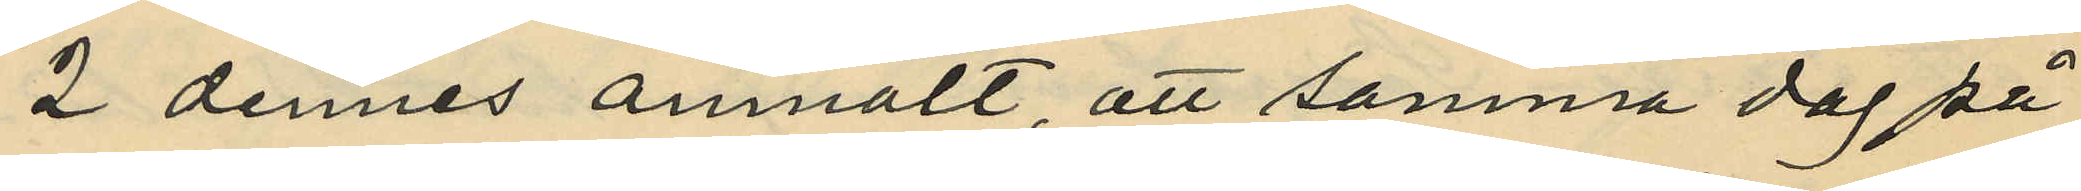2 dennes anmält, att samma dag på
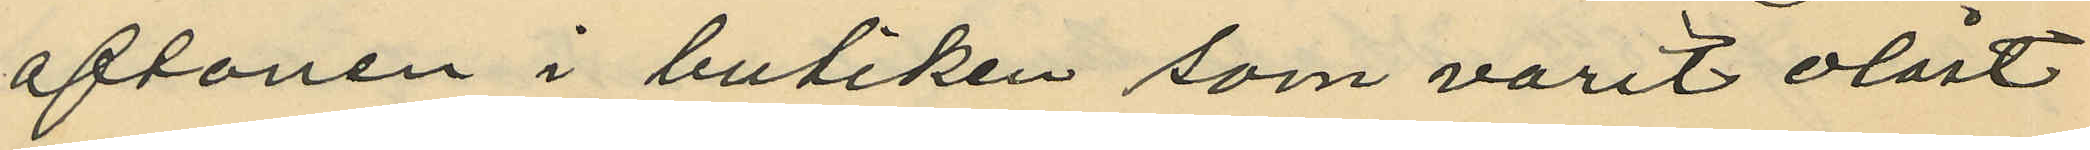aftonen i butiken som varit olåst
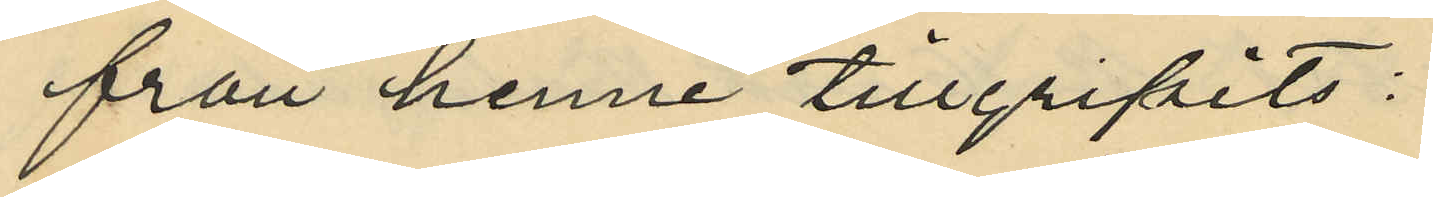från henne tillgripits:
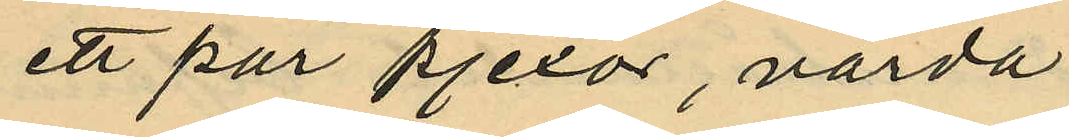ett par pjexor, värda
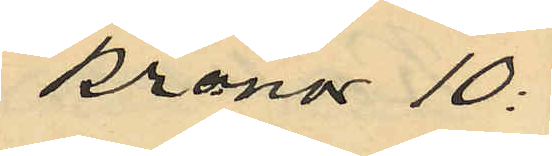Kronor 10:
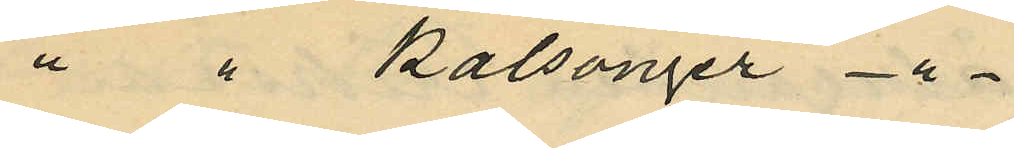Kalsonger 
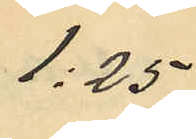1:25
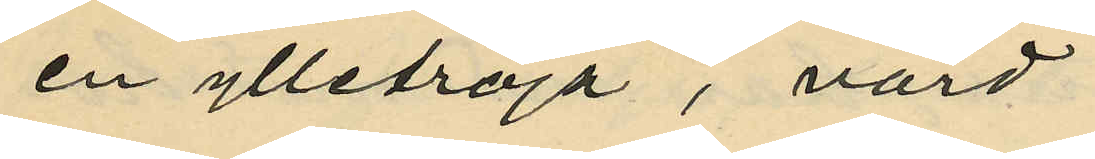en ylletröja, värd
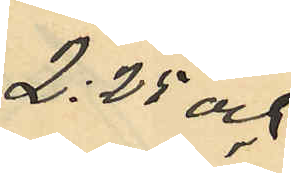 2:25 och
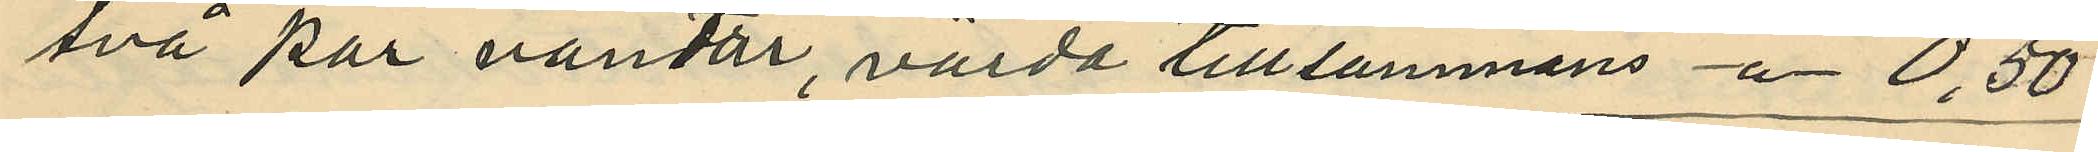två par vantar, värda tillsammans - " - 0,50
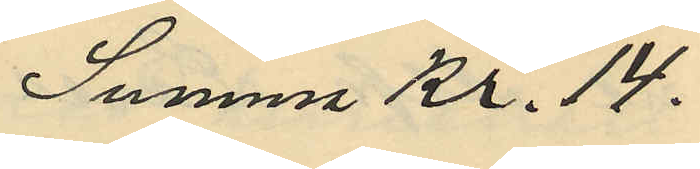Summa Kr. 14. -
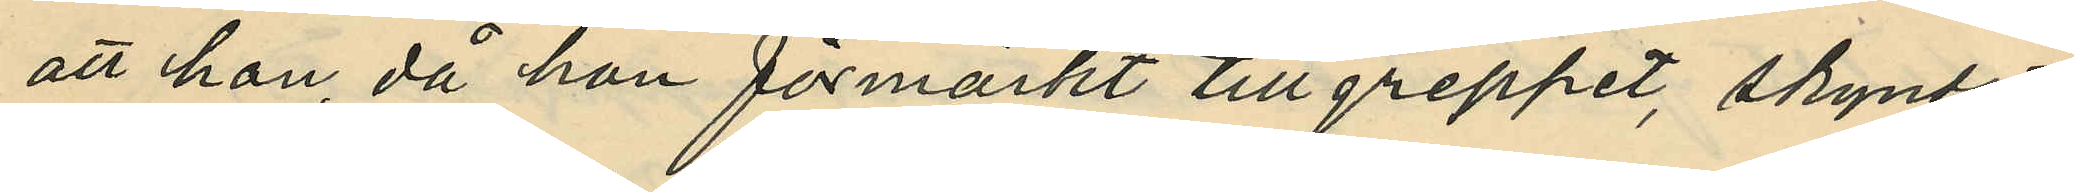att hon, då hon förmärkt tillgreppet, skyndat
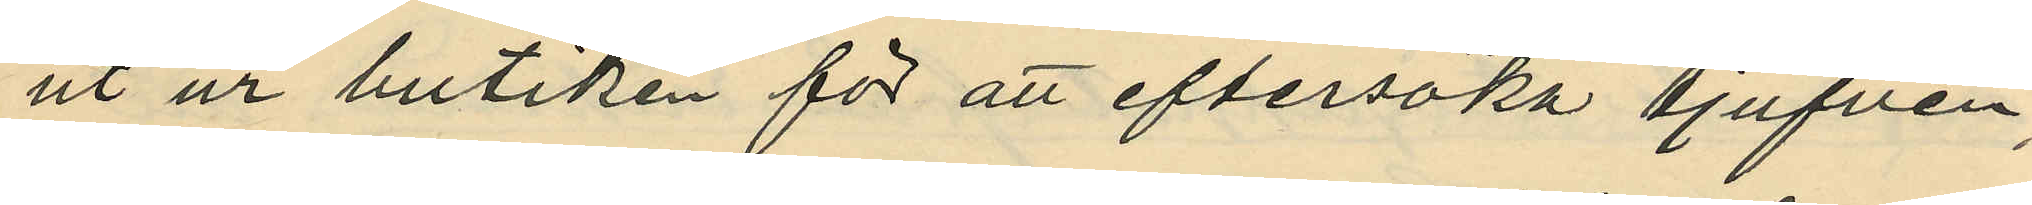ut ur butiken för att eftersöka tjufven;
